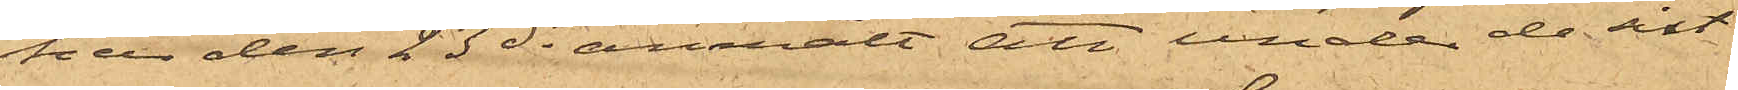har den 23 ds anmält att under de sist.
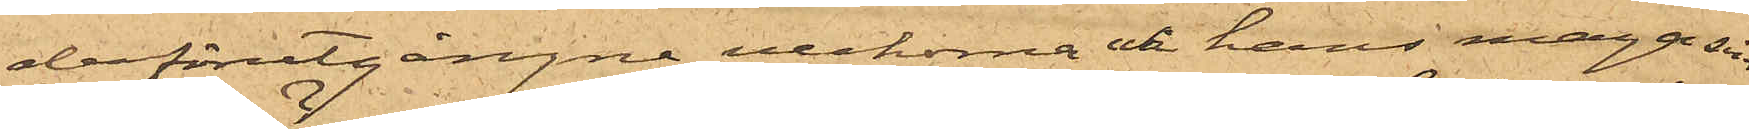derförutgångne veckorna uti hans magasin
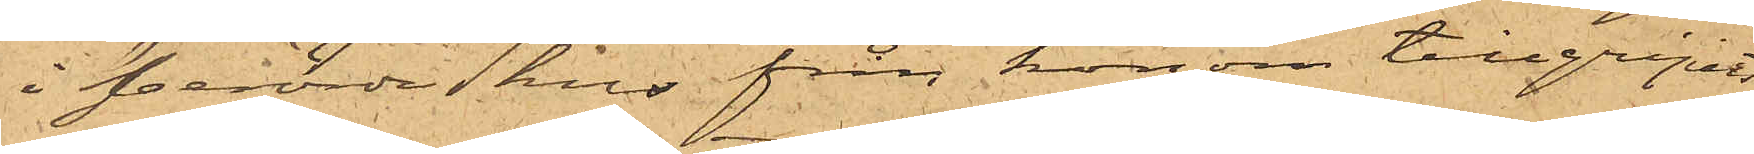i berörda  hus från honom tillgripits
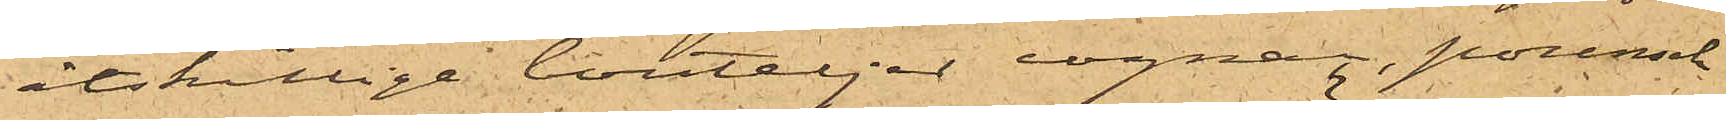åtskillige bouteljer cognac, punsch
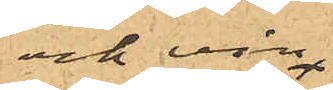och vin
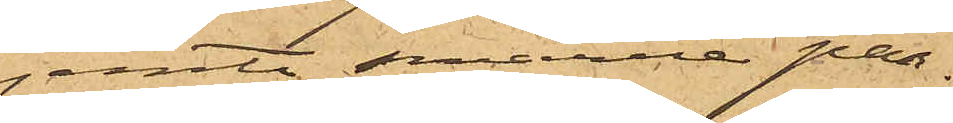jemte smärre par¬
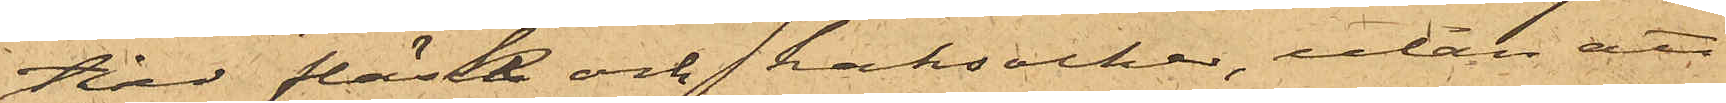tier fläsk och kantsocker, utan att
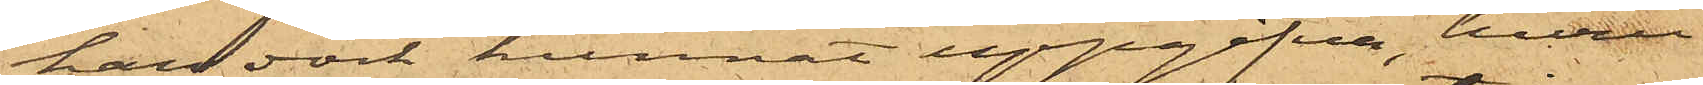han dock kunnat uppgifva, huru
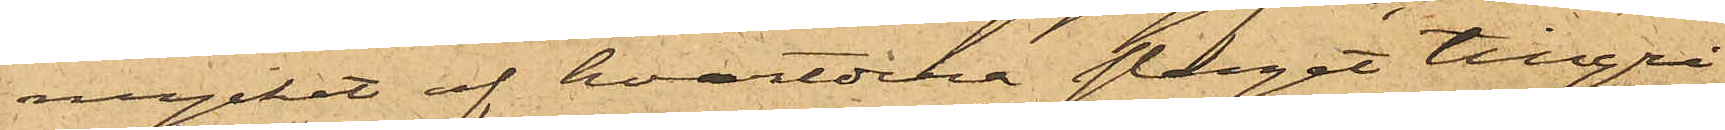mycket af hvardera slaget tillgri¬
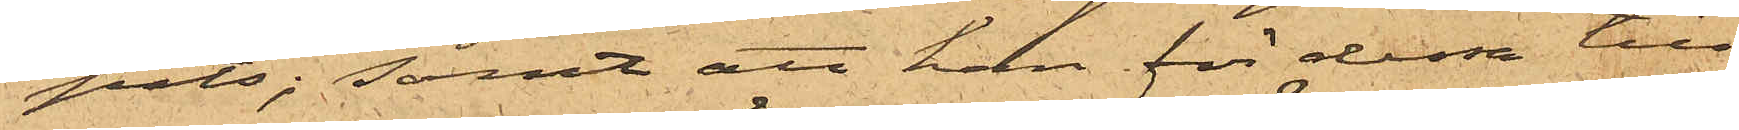pits; samt att han för dessa till¬
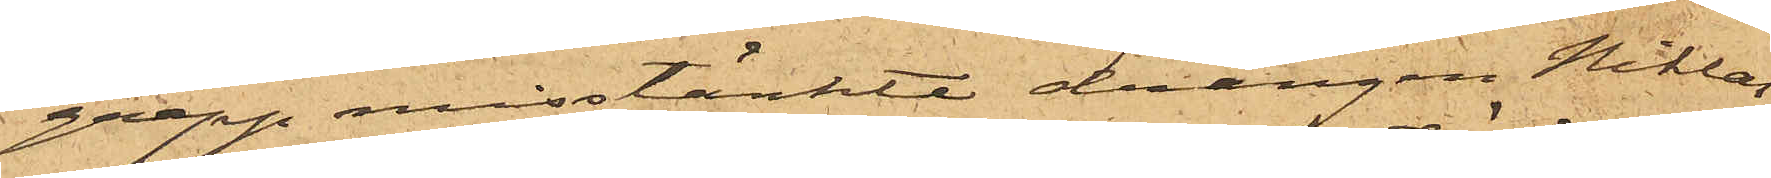grepp misstänkte drängen Niklas
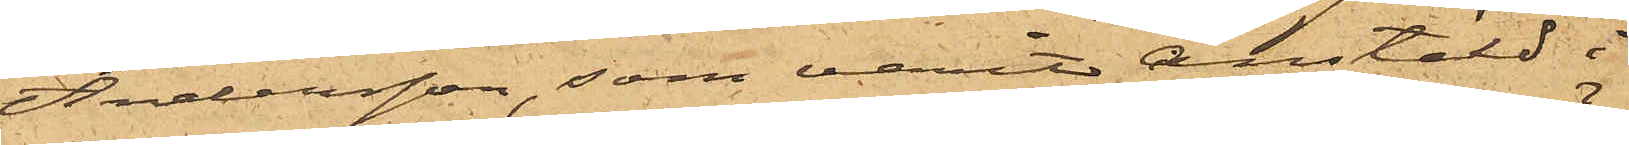Andersson, som varit anstäld i
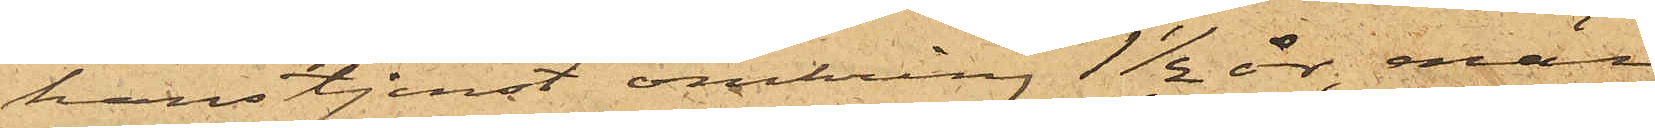hans tjenst omkring 1½ år, enär
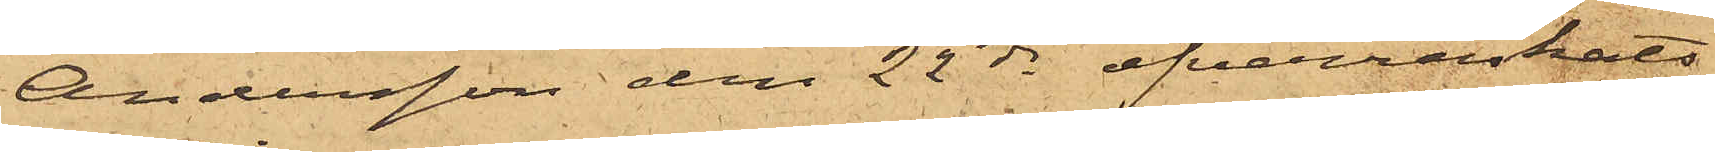Andersson den 22 ds öfverraskats
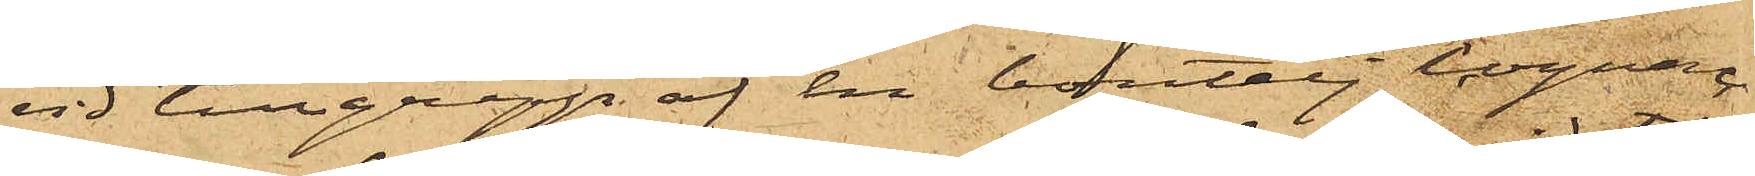vid tillgrepp af en boutelj Cognac
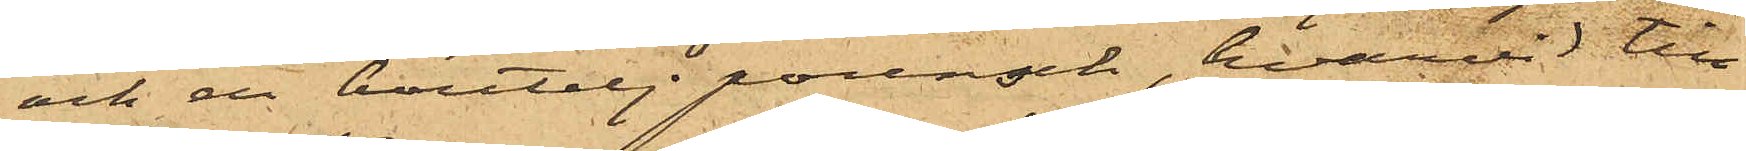och en boutelj punsch, hvarvid till¬
